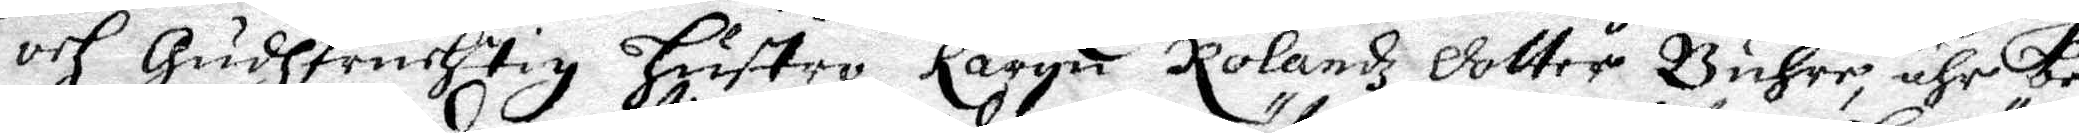och gudhfruchtig Hustro Karyn Rolandz dotter Buhre, ähr be¬
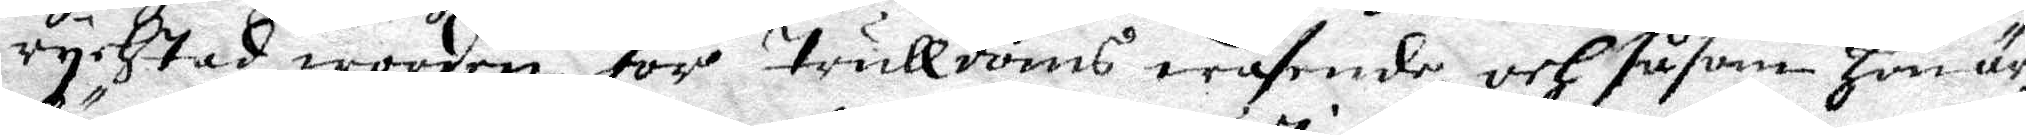rychtad worden för Trulldoms wäsende, och såsom Hon är
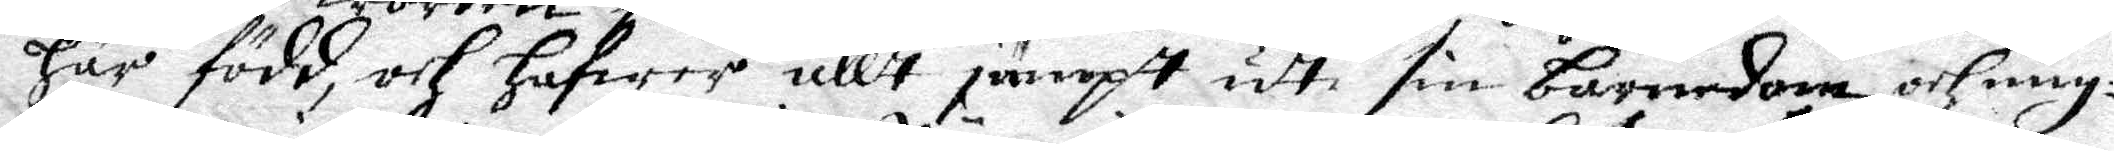Här född, och hafwer allt jämpt udti sin barnedom och ung¬
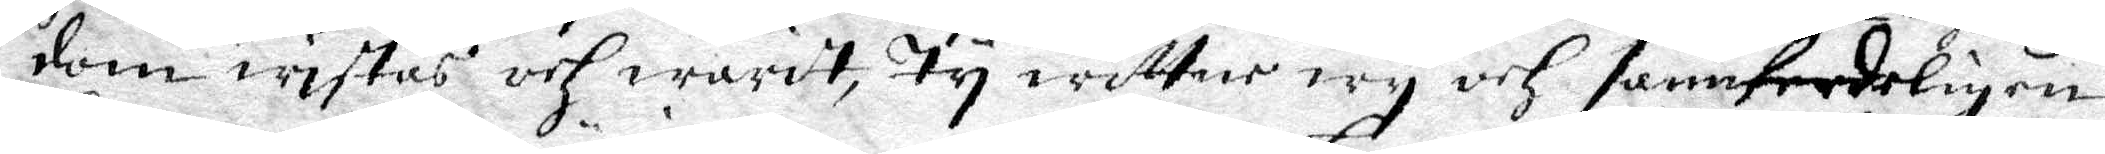dom wistas och waridt, Ty wittne wy och sannferdeligen
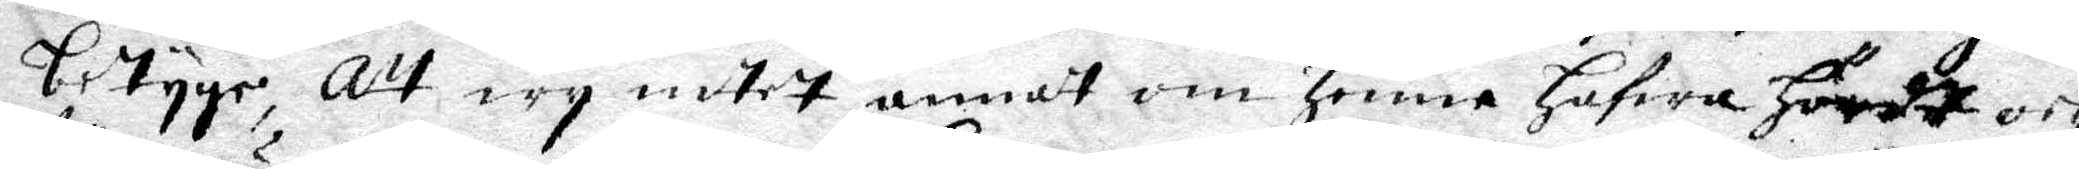betyge Att wy indtet annadt om Henne hafwa Hördt och
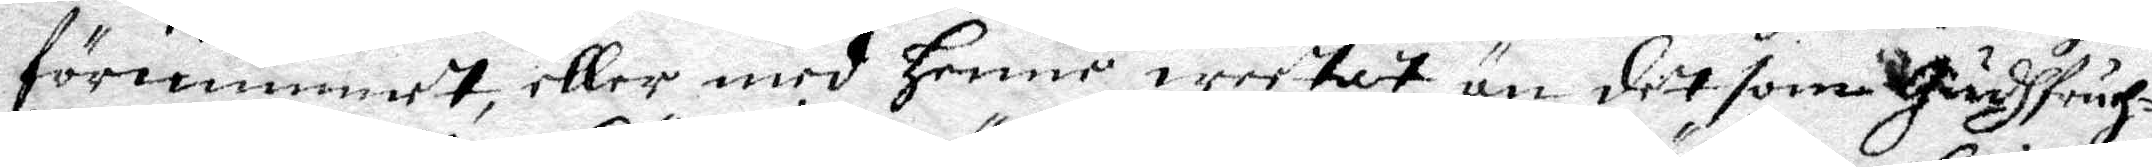förnummet, eller med Henne weetat än det som gudfruch¬
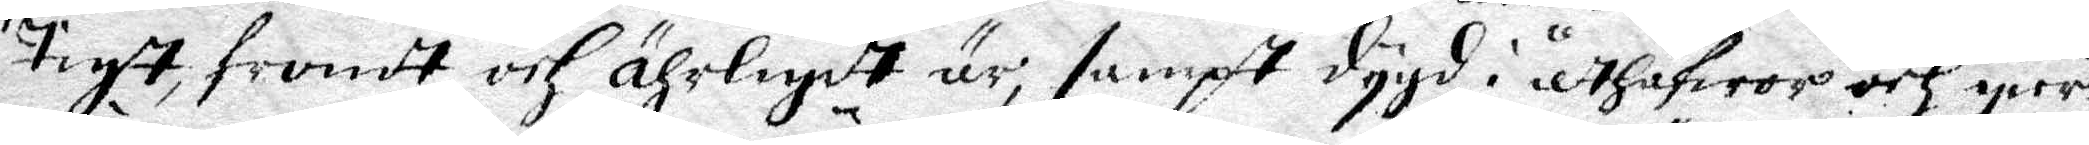tigt, fromdt och ährligit är, sampt dygd i åtHäfwor och gier¬
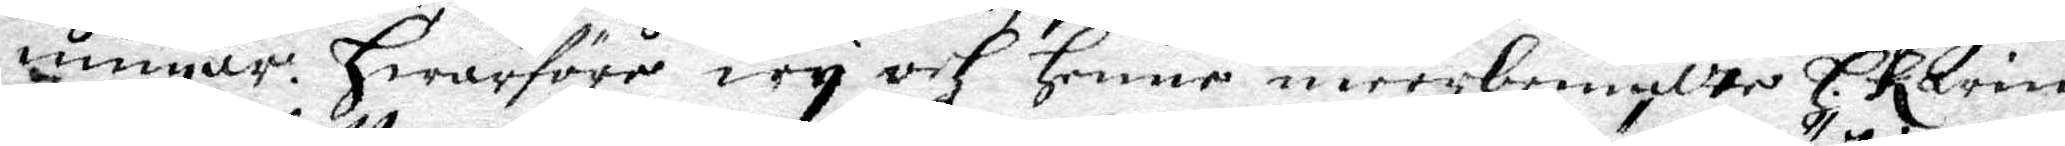ningar. Hwarföre wy och Henne meerbemäldte H. Karin
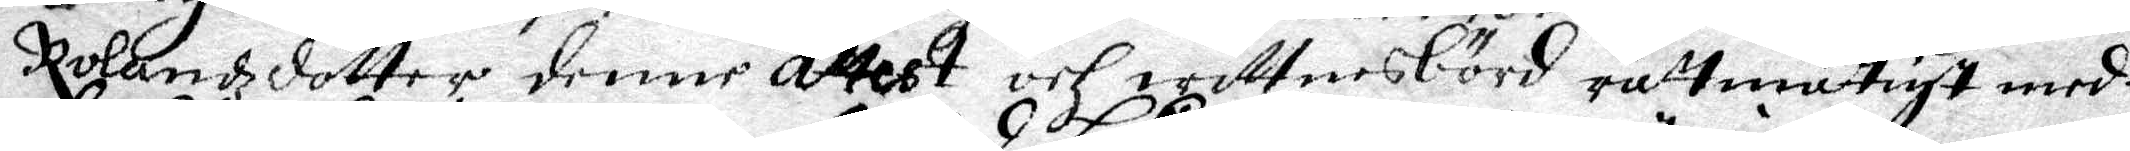Rolandzdotter denne Attest och wittnesbörd rättmätigt med¬
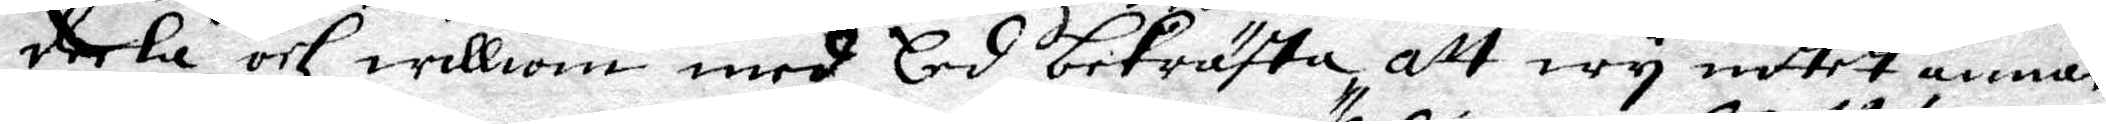deela och williom med Eed bekräfta, att wy intet annat
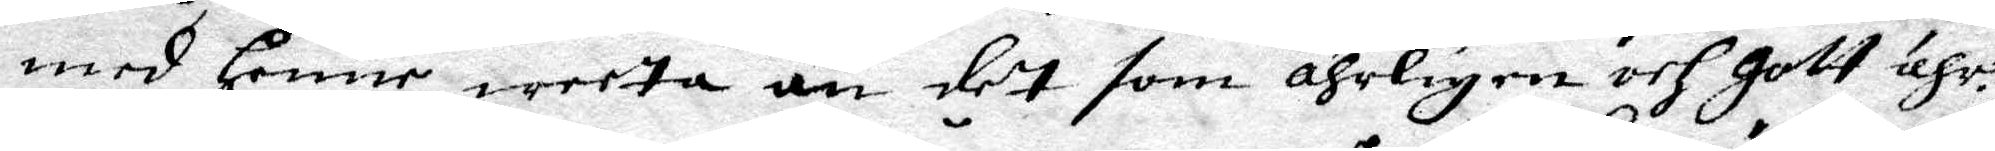med Henne weera än det som ähligen och gott ähr.
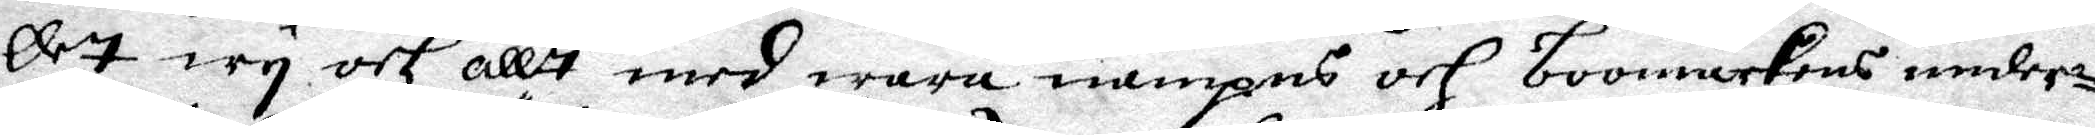Det wy och allt med wåra nampns och boomärkens under¬
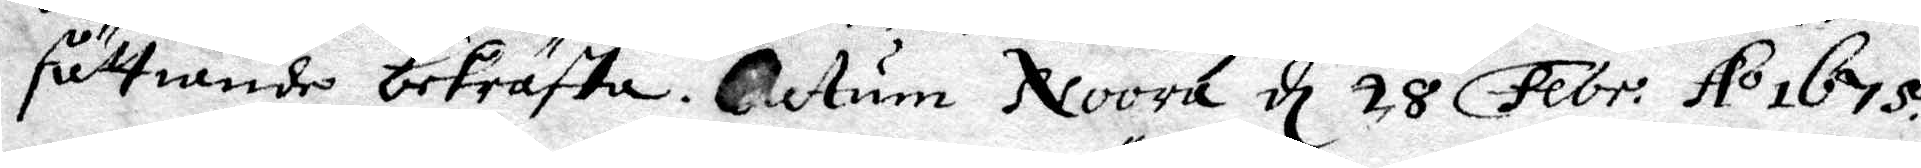sättiande bekräfta. Datum Noora d 28 Febr. Ao 1675.
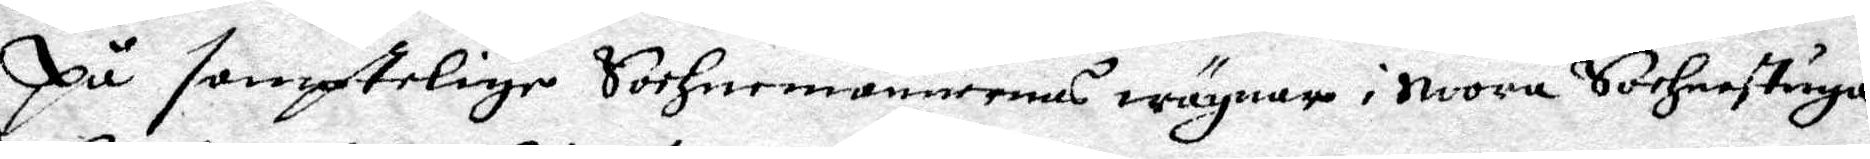På samplelige Sochnemännenas wägnar i Noora Sochnestuga
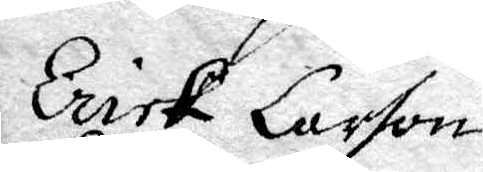Erick Larson
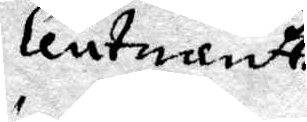Leutnadt
